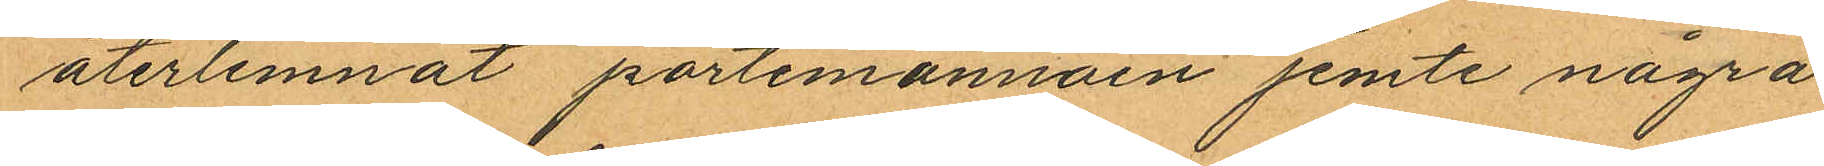återlemnat portemonnäen jemte några
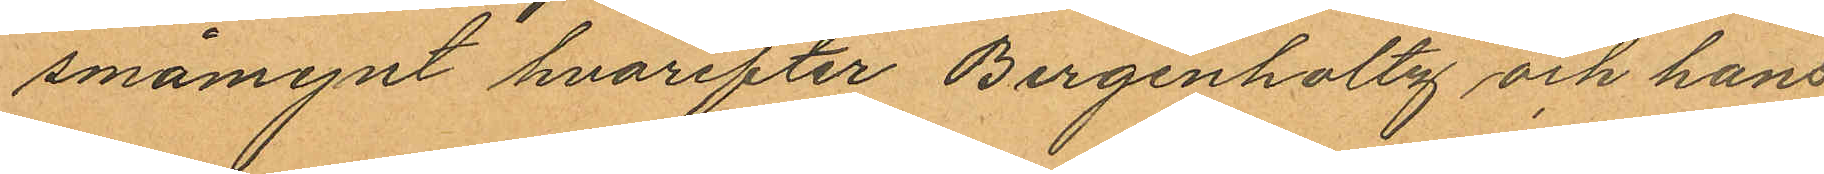småmynt hvarefter Bergenholtz och hans
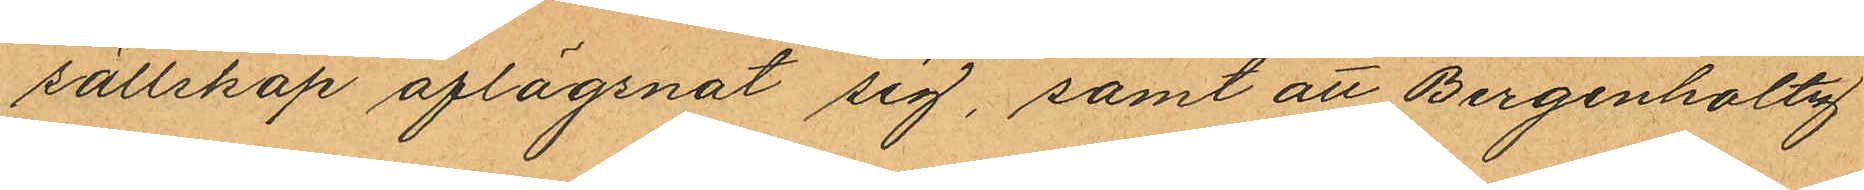sällskap aflägsnat sig, samt att Bergenholtz
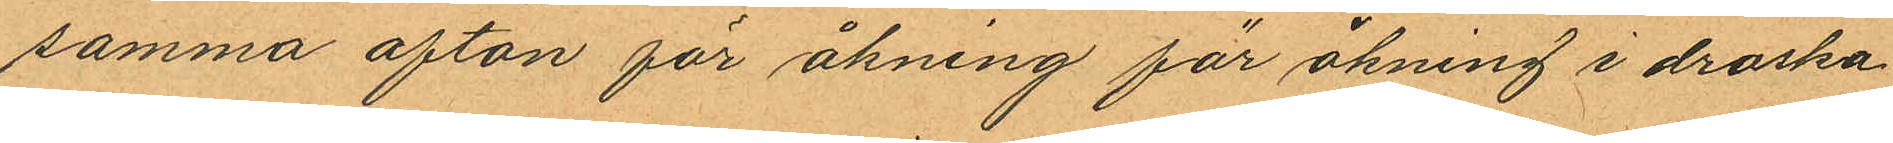samma afton för åkning för åkning i droska
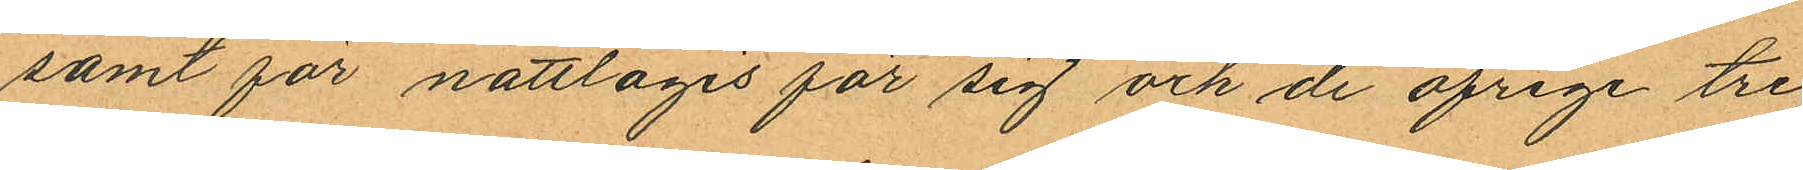samt för nattlogis för sig och de öfrige tre
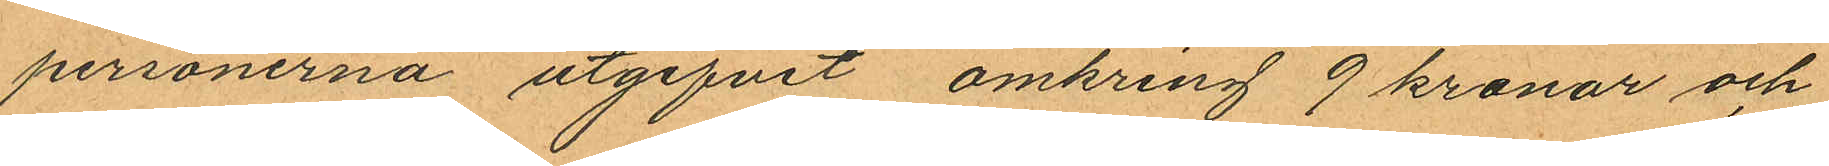personerna utgifvit omkring 9 kronor och
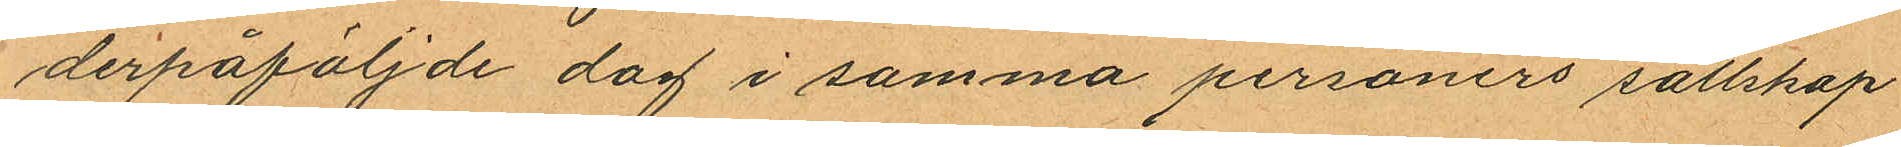derpåföljde dag i samma personers sällskap
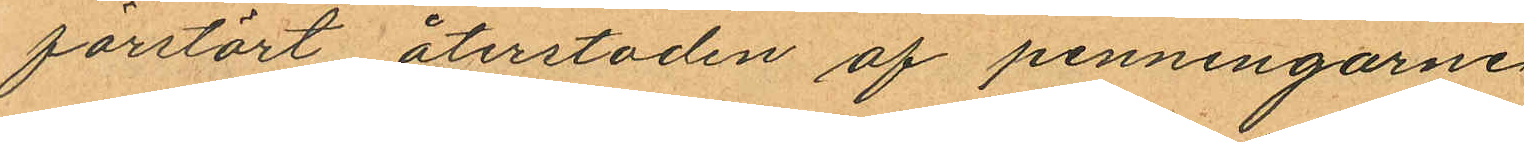förstört återstoden af penningarne
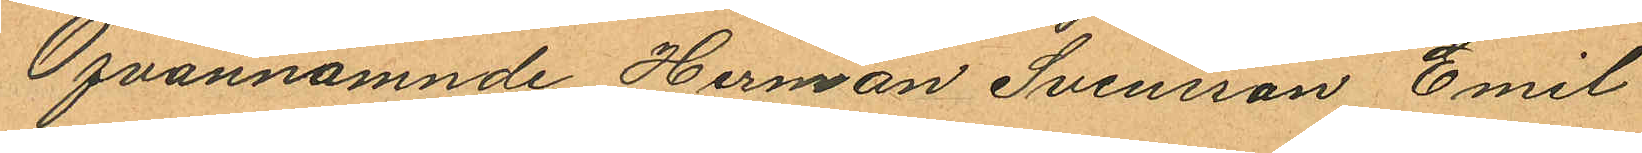Ofvannämnde Herman Svensson, Emil
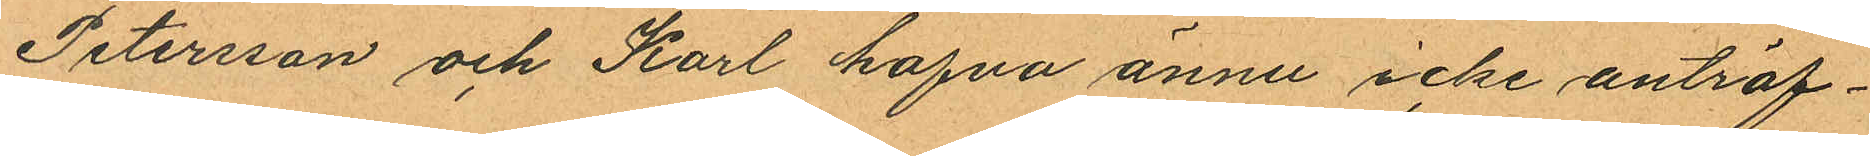Petersson och Karl hafva ännu icke anträf¬
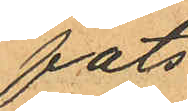fats.
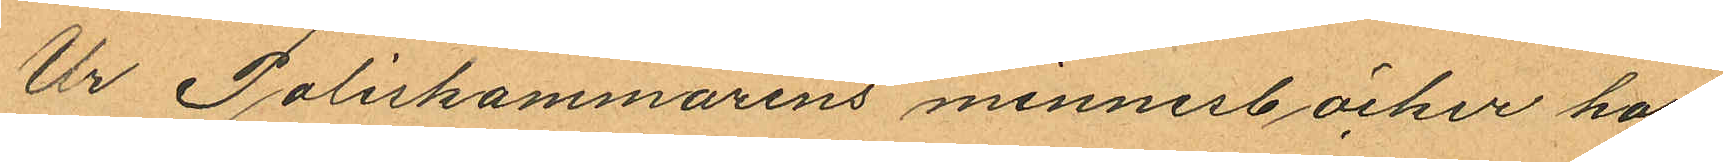Ur Poliskammarens minnesböcker har
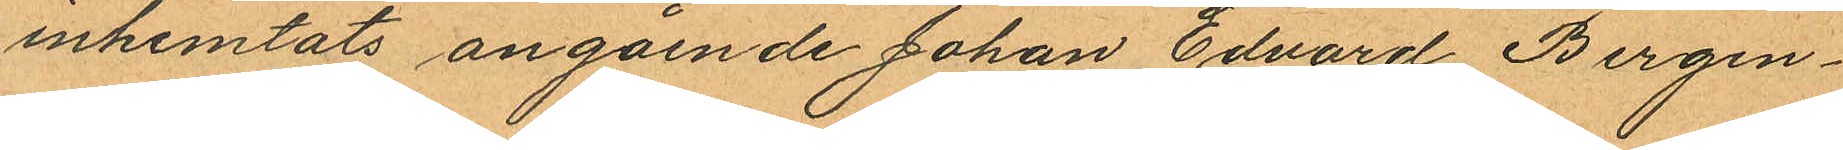inhemtats angående Johan Edvard Bergen¬
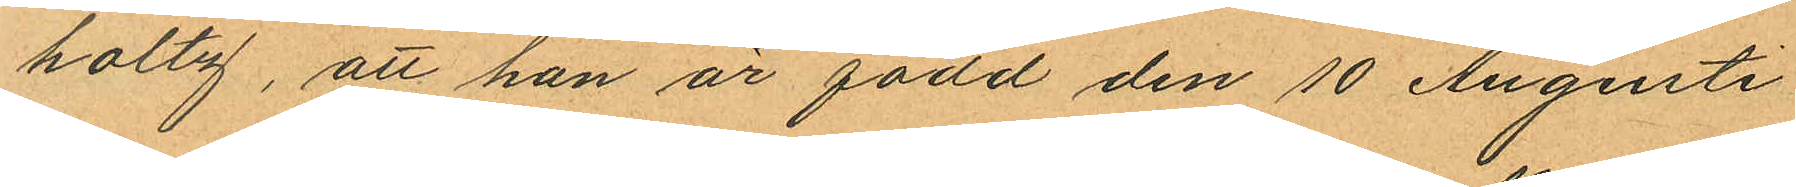holtz, att han är född den 10 Augusti
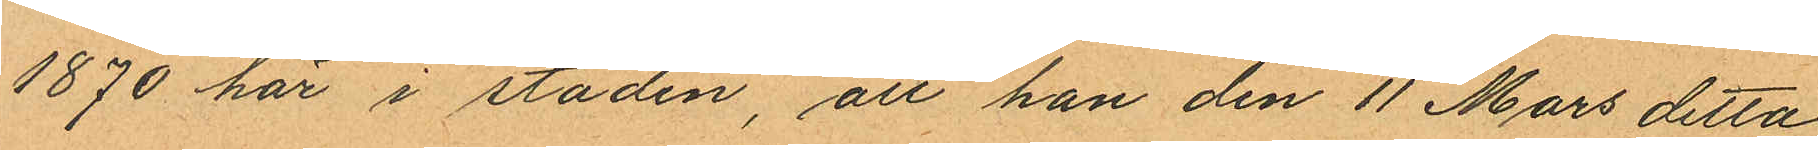1870 här i staden, att han den 11 Mars detta
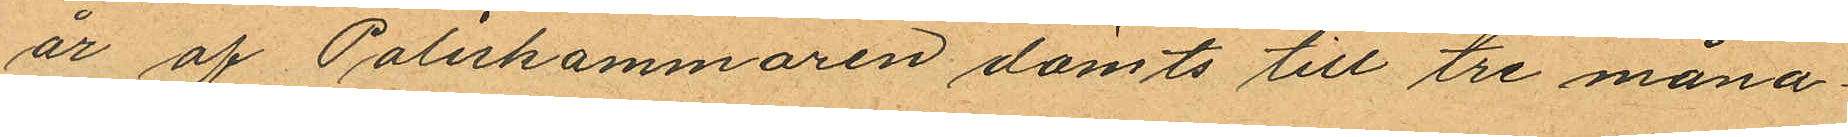år af Poliskammaren dömts till tre måna¬
